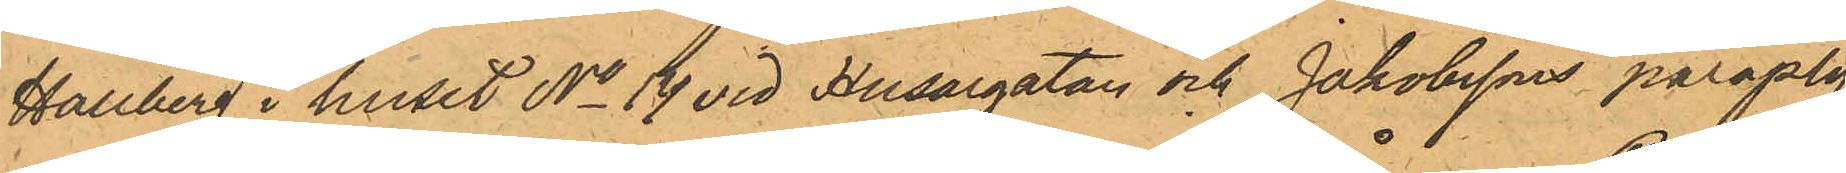Hallberg i huset No 14 vid Husargatan och Jakobssons paraply¬
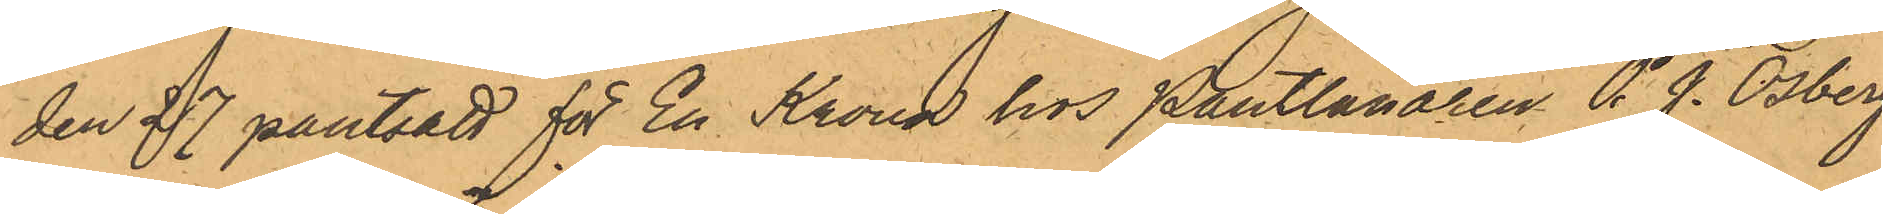den 27 pantsatt för En Krona hos Pantlånaren P. J. Osberg
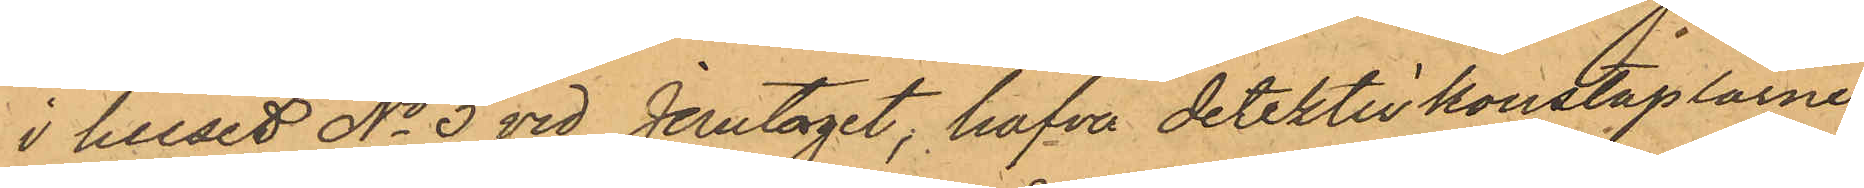i huset No 3 vid Jerntorget, hafva detektivkonstaplarne
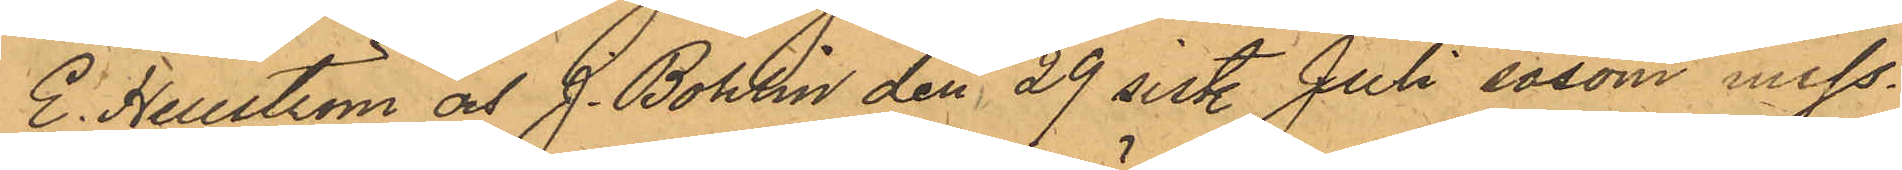E. Hellström och J. Bohlin den 29 sist. Juli såsom miss¬
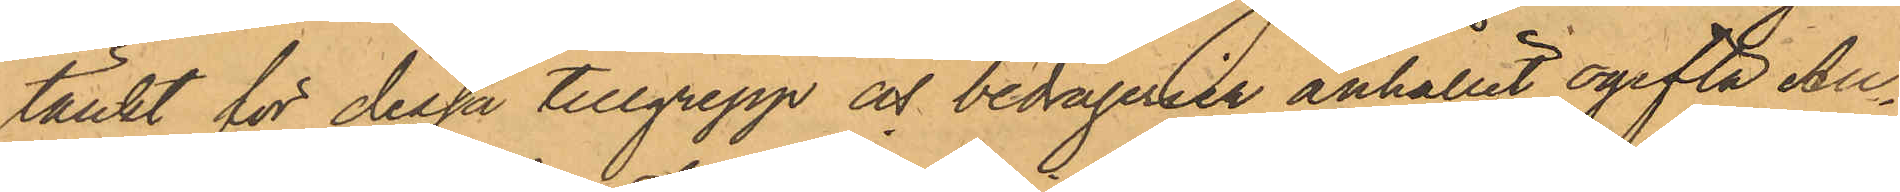tänkt för dessa tillgrepp och bedrägerier anhållit ogifta Au¬
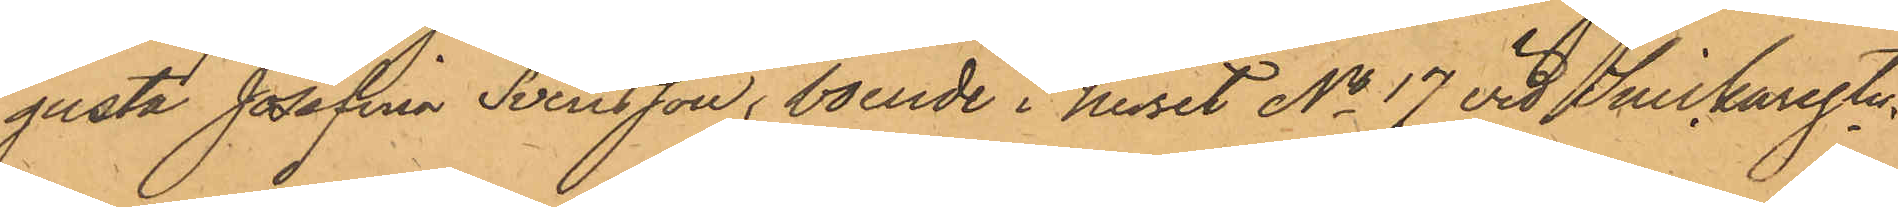gusta Josefina Svensson, boende i huset No 17 vid Snickaregtn.
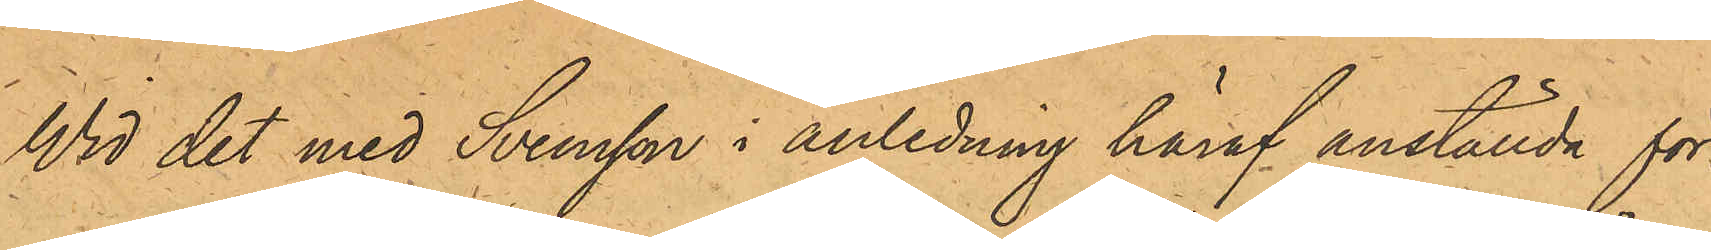Wid det med Svensson i anledning häraf anställda för¬
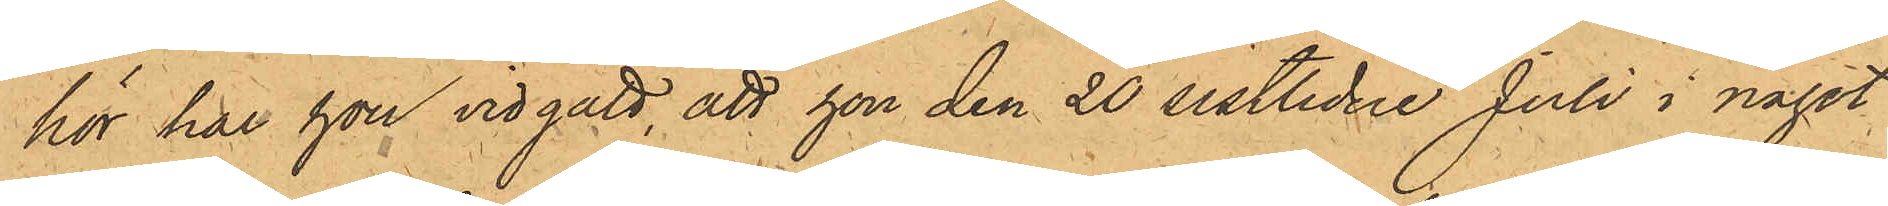hör har hon vidgått, att hon den 20 sistlidne Juli i något
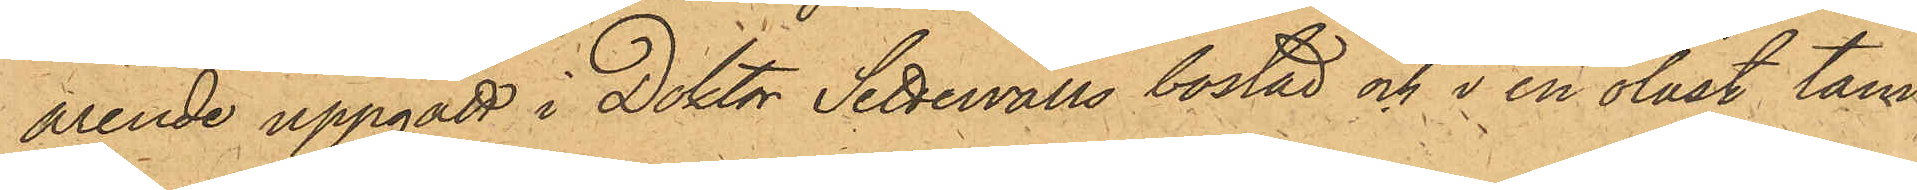ärende uppgått i Doktor Settervalls bostad och i en olåst tam¬
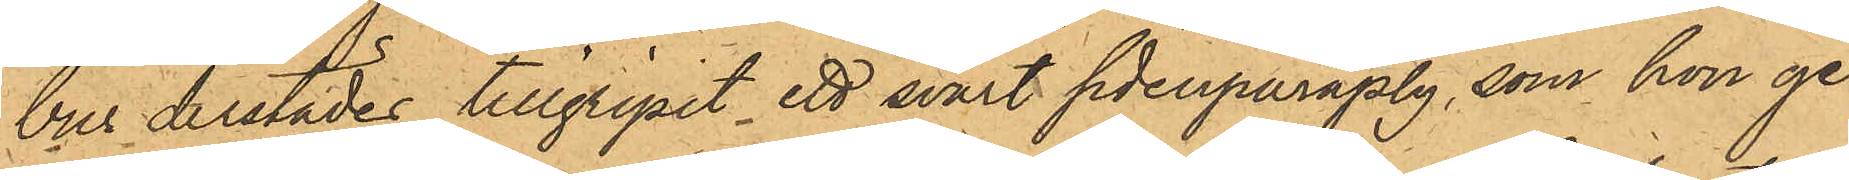bur derstädes tillgripit ett svart sidenparaply, som hon ge¬
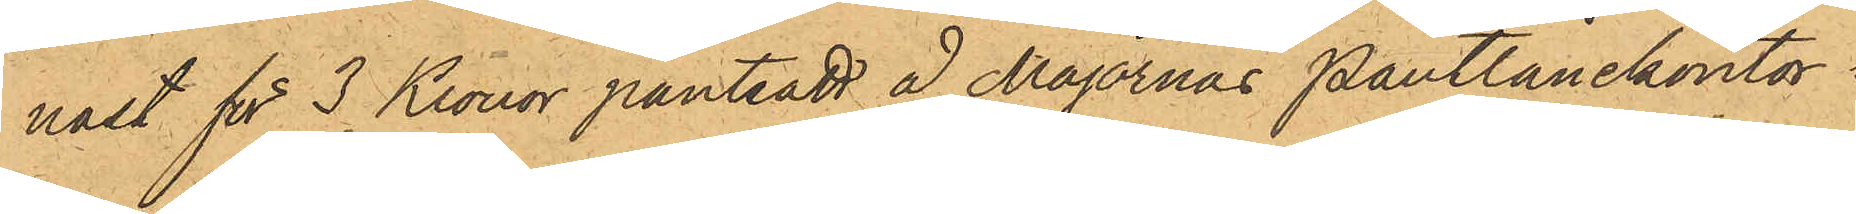nast för 3 Kronor pantsatt å Majornas Pantlånekontor i
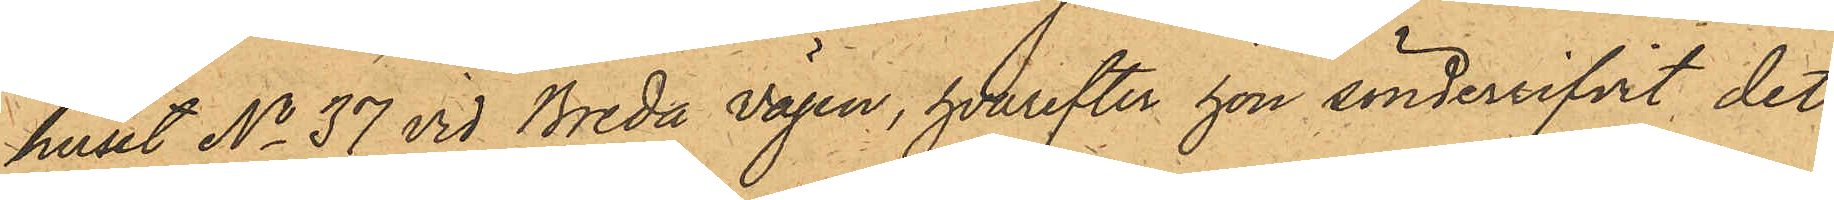huset No 37 vid Breda Vägen, hvarefter hon sönderrifvit det
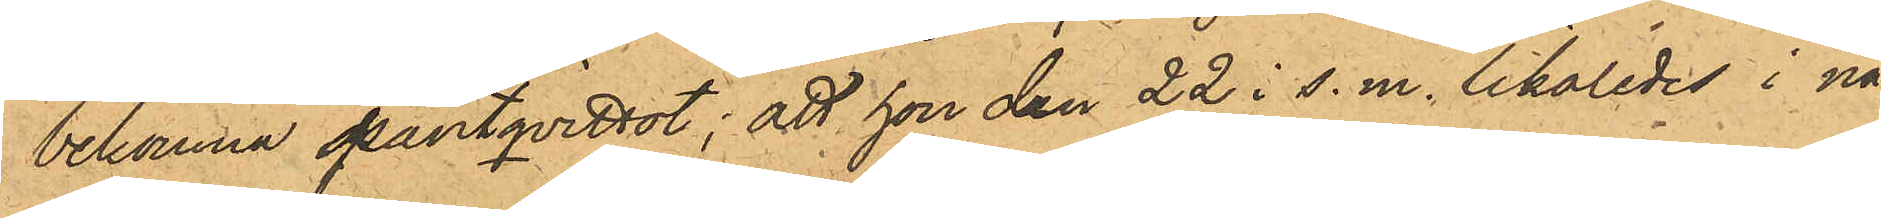bekomna pantqvittot; att hon den 22 i s.m. likaledes i nå¬
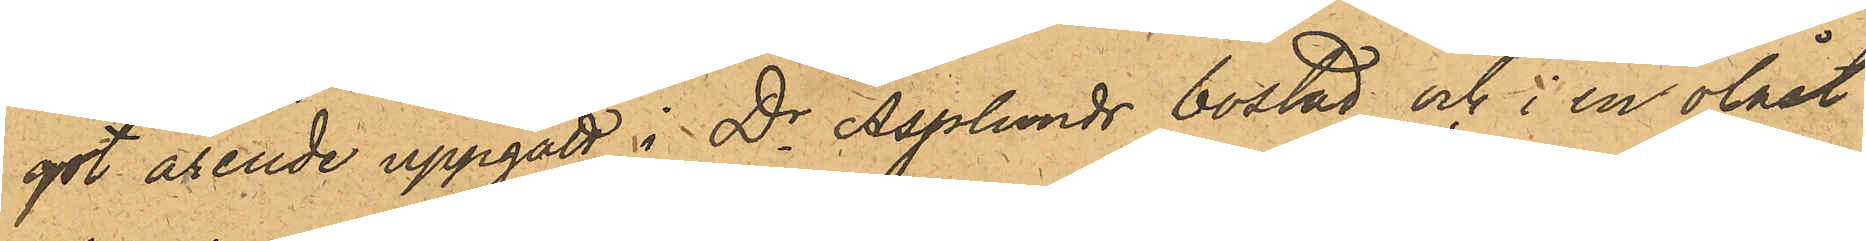got ärende uppgått i Dr Asplunds bostad och i en olåst
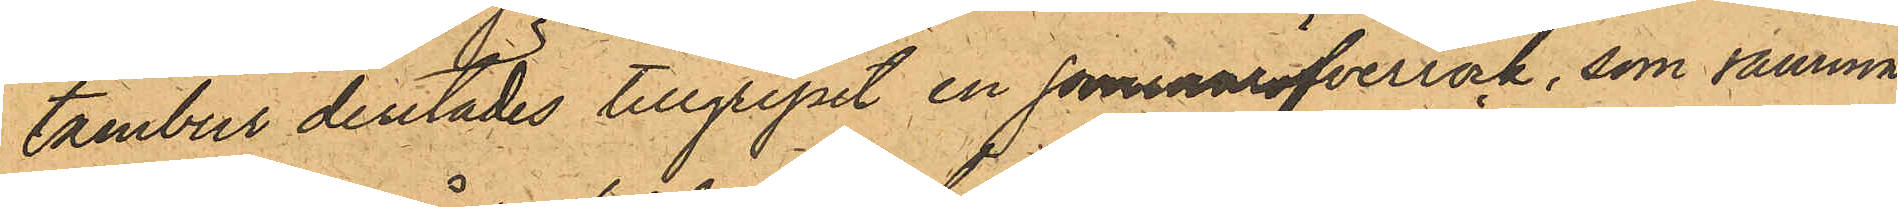tambur derstädes tillgripit en sommaröfverrock, som samma
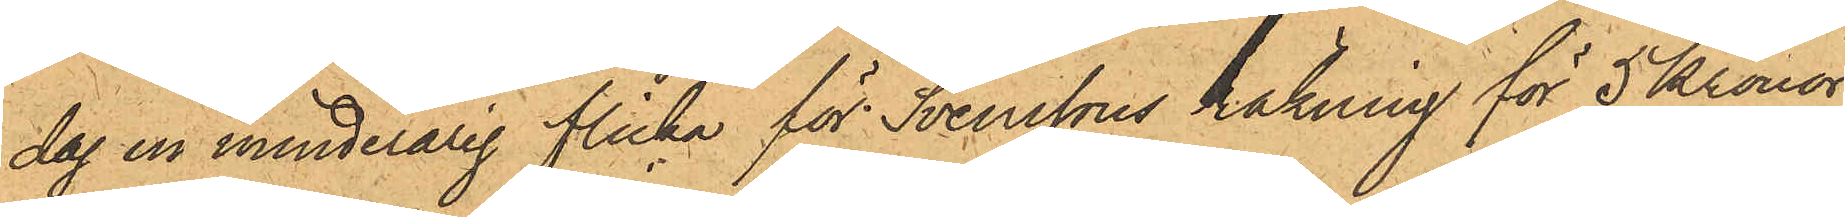dag en minderårig flicka för Svenssons räkning för 5 Kronor
